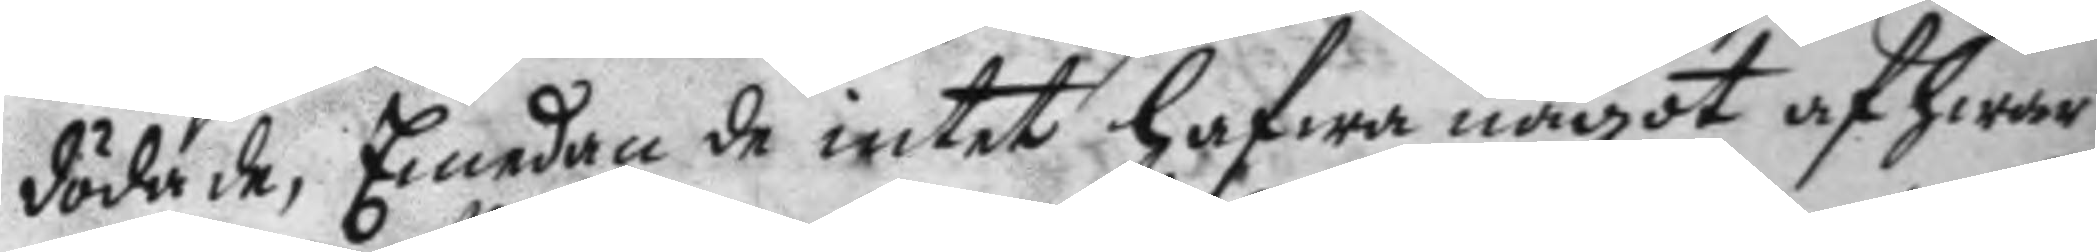dödade, Emedan de intet hafwa något af hwar
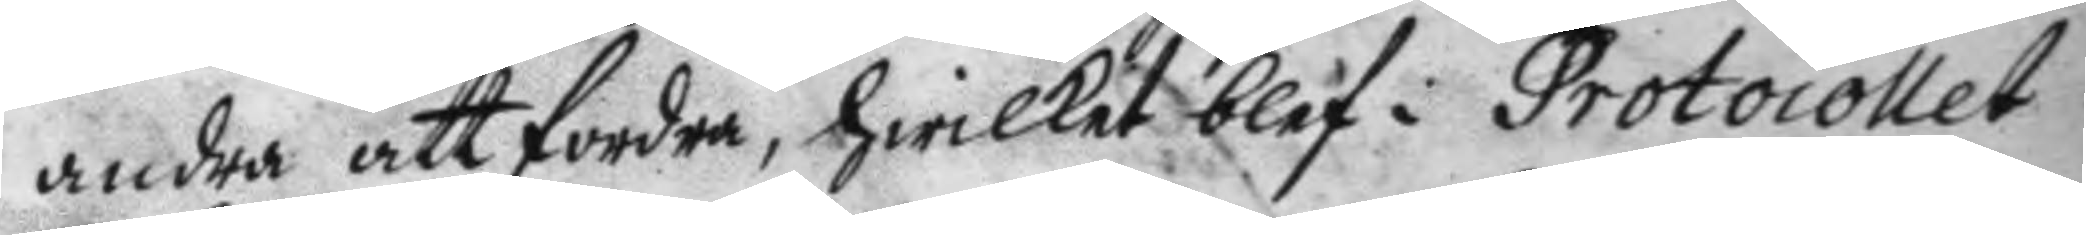andra att fordra, hwilket blef i Protocollet
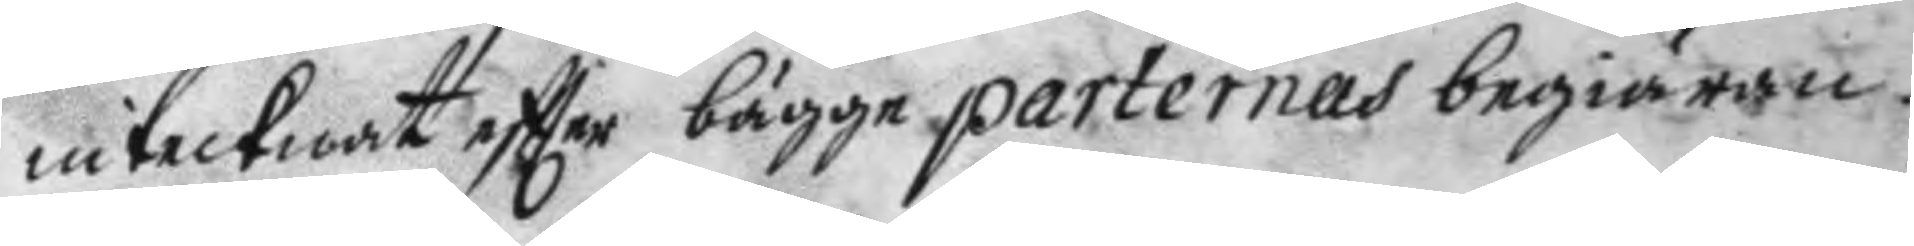intecknat eftter bägge parternas begiäran.
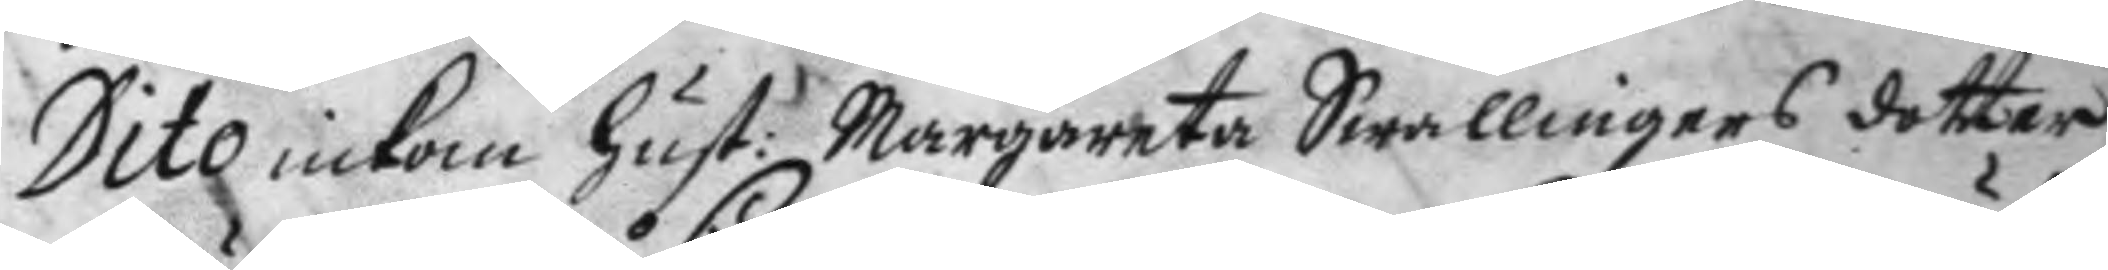Dito inkom hust: Margareta Swallingers dotter
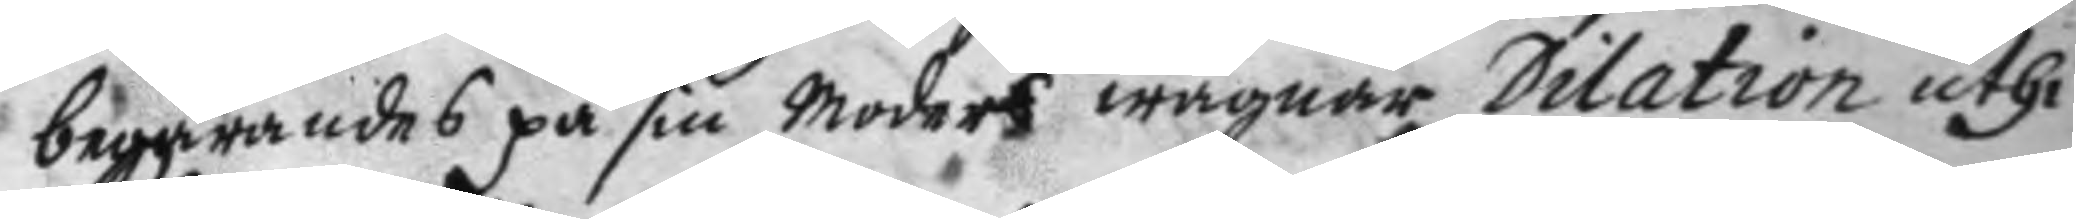begärandes på sin moders wägnar Dilation uthi
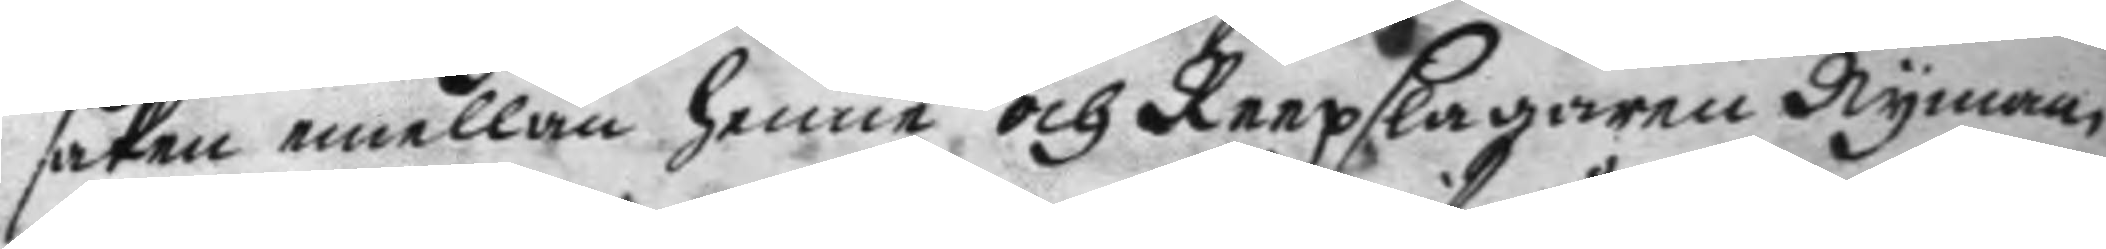saken emellan henne och Reepslagaren Nyman
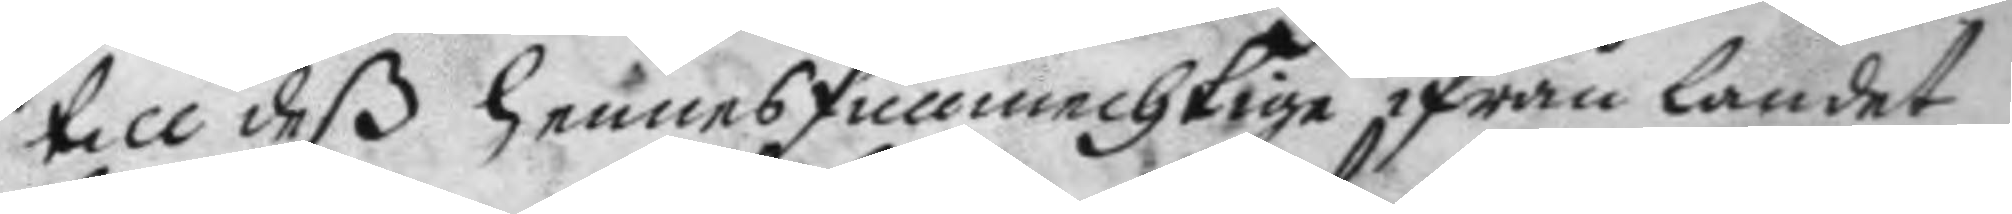till deß hennes fullmechtige ifrån landet
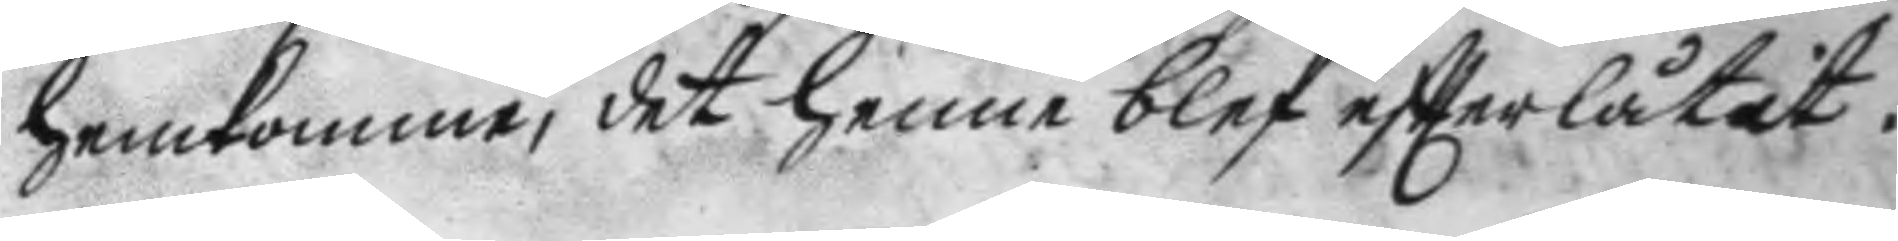hemkomme, det henne blef eftter låtit.
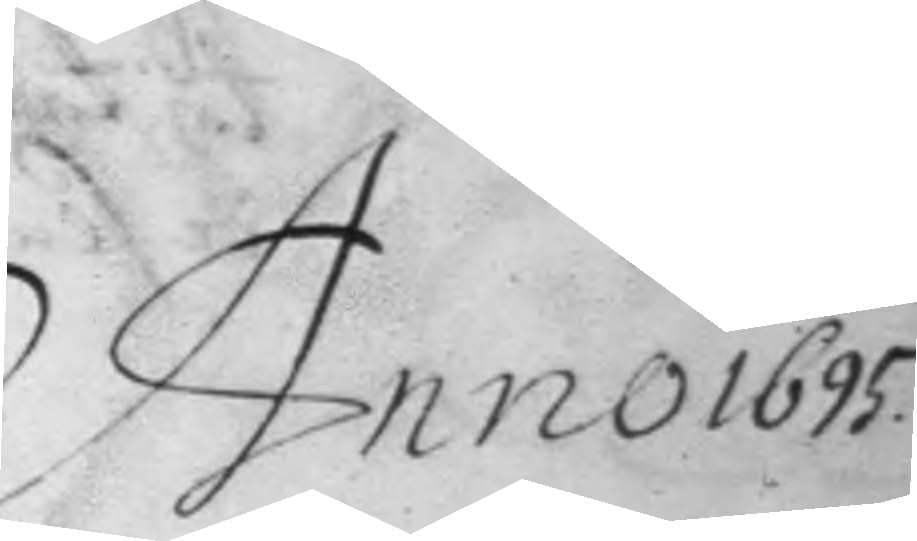Anno 1695.
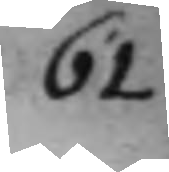61
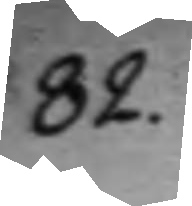82.
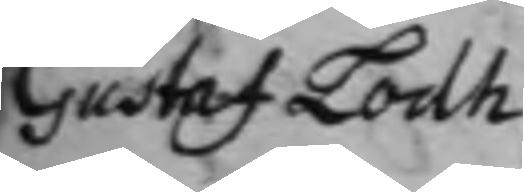Gustaf Lodh
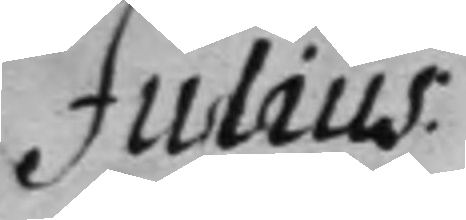Julius
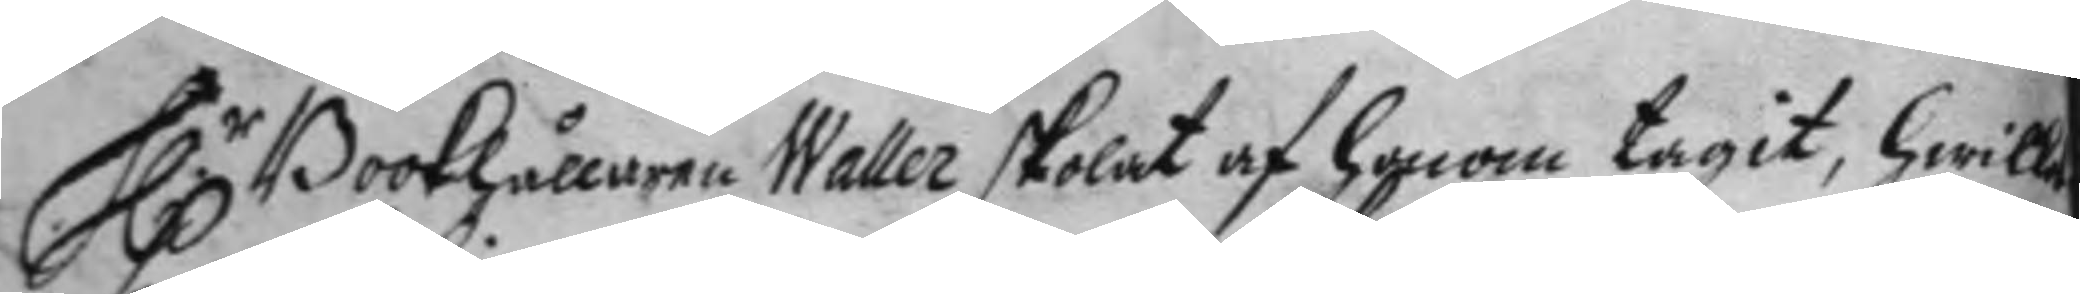H.r Bookhållaren Waller skoalt af hoom tagit, hwilket
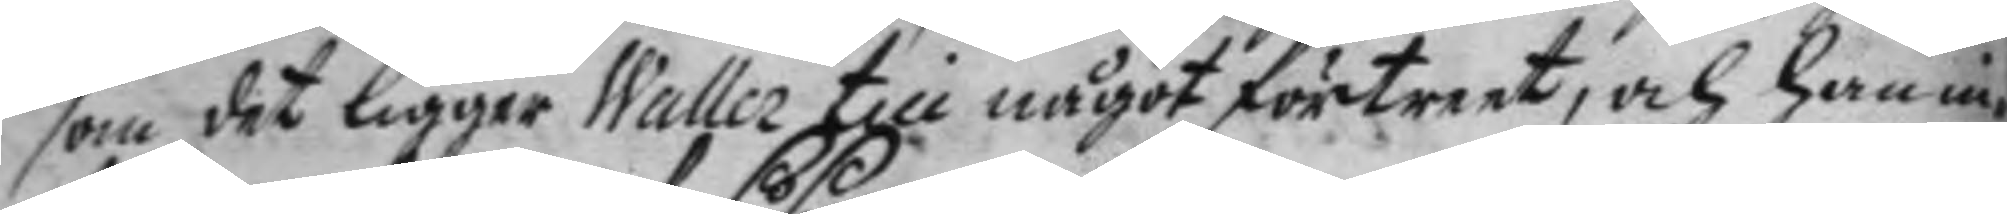som det ligger Waller till något förtreet, och han in¬
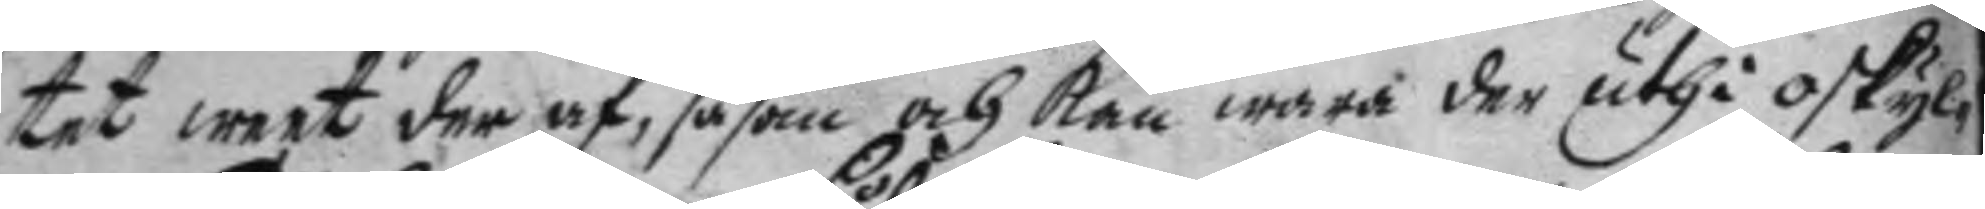tet weet der af, såsom och kan wara der uthi oskyl¬
